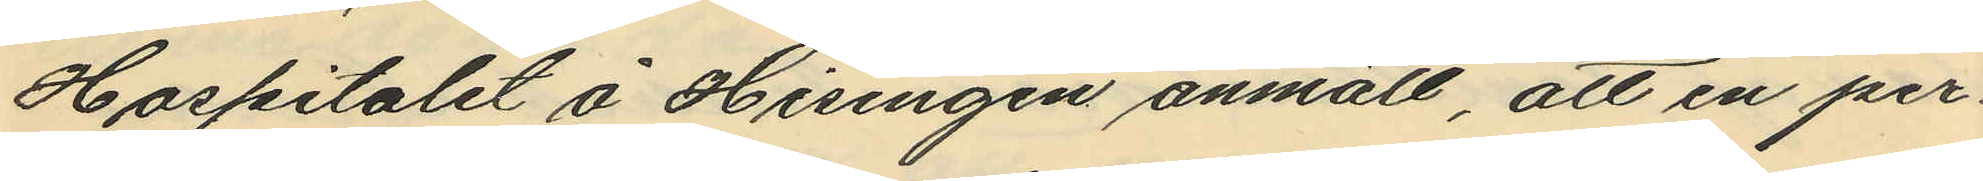Hospitalet å Hisingen anmält, att en per¬
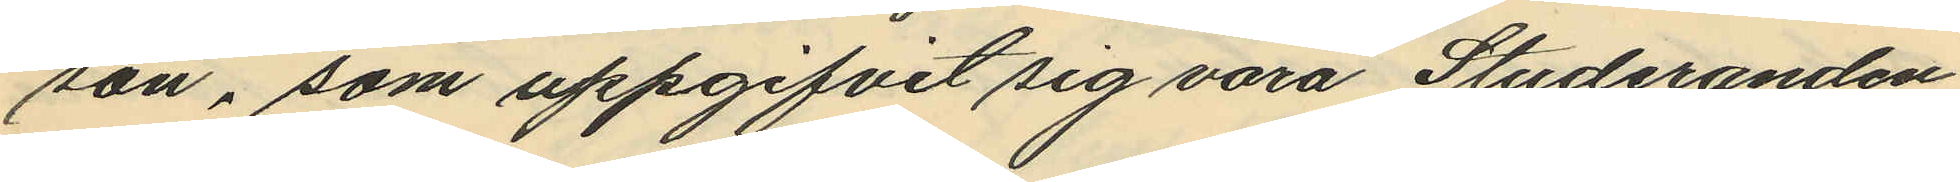son, som uppgifvit sig vara Studeranden
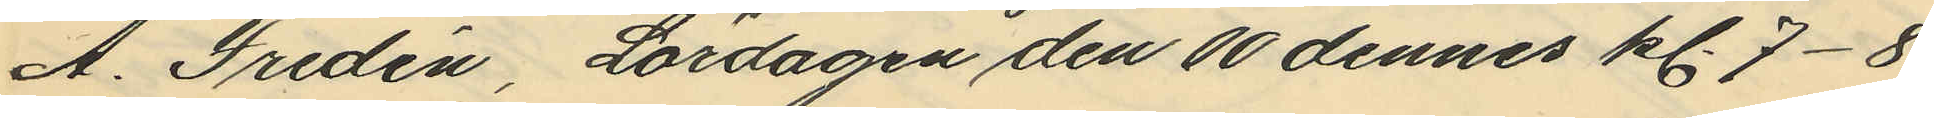A. Fredén, Lördagen den 10 dennes kl. 7-8
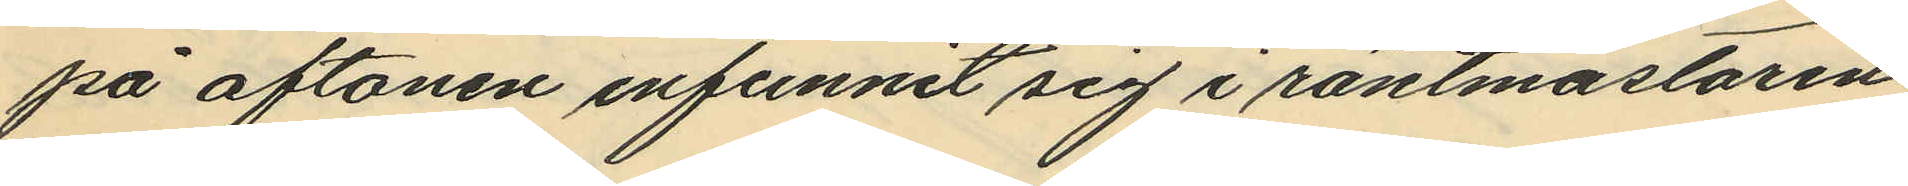på aftonen infunnit sig i räntmästaren
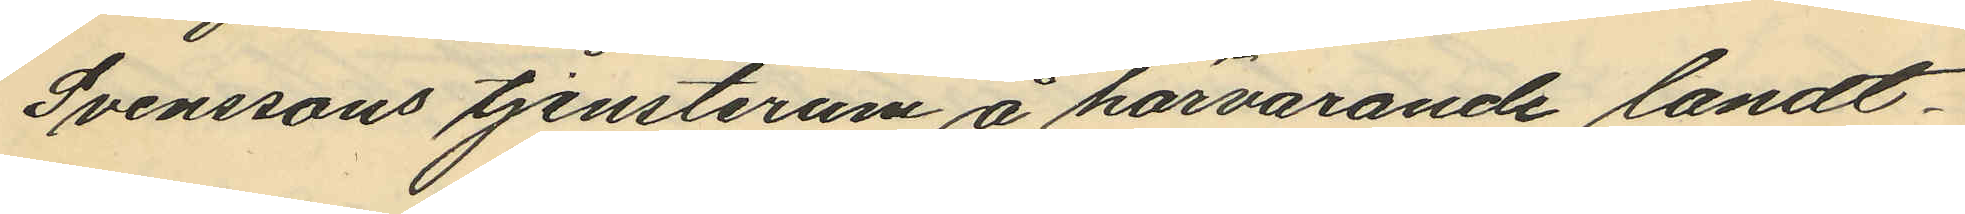Svenssons tjensterum å härvarande landt¬
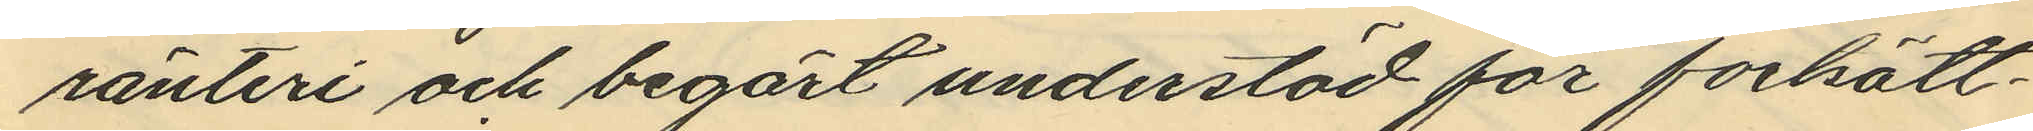ranteri och begärt understöd för fortsätt¬
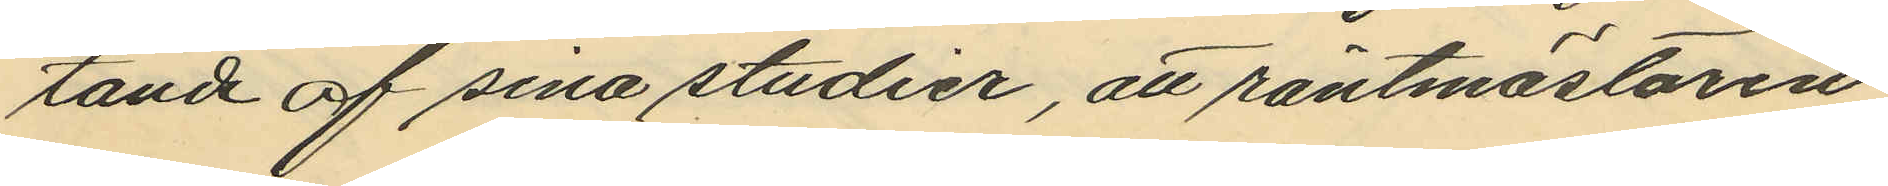tande af sina studier, att räntmästaren
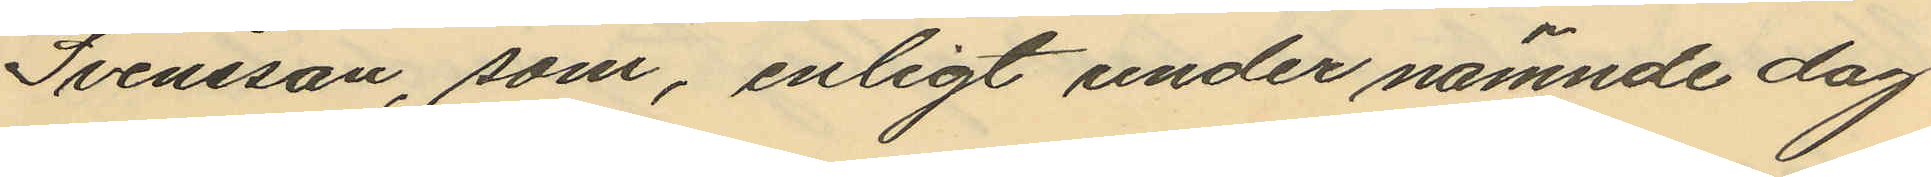Svensson, som, enligt under nämnde dag
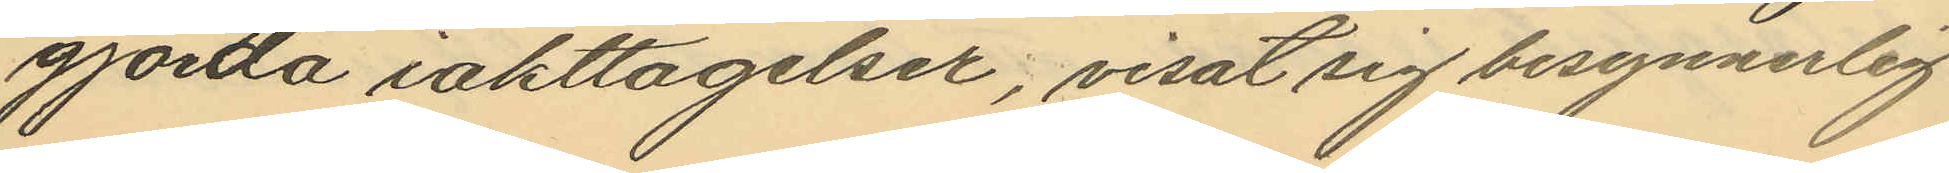gjortda iakttagelser, visat sig besynnerlig
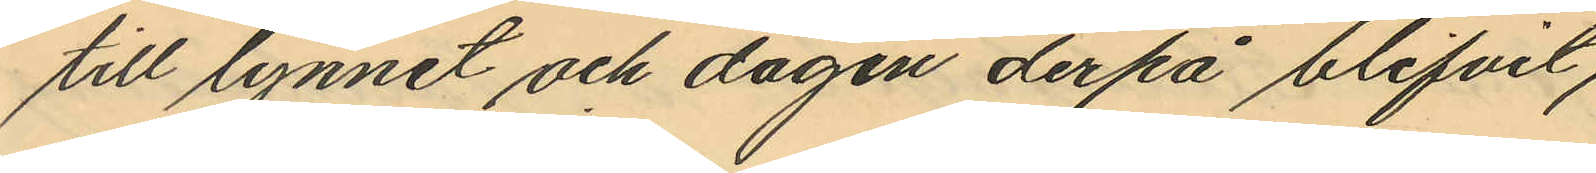till lynnet och dagen derpå blifvit
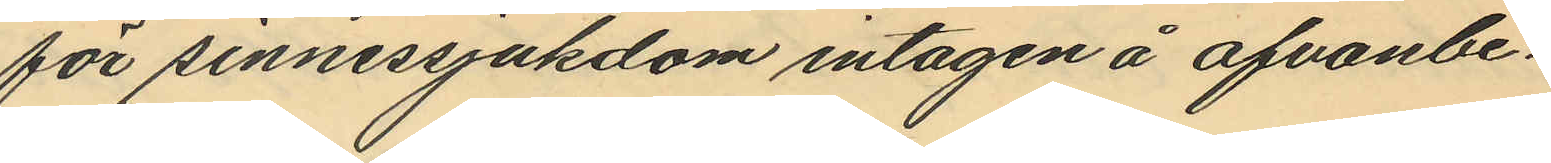för sinnessjukdom intagen å ofvanbe¬
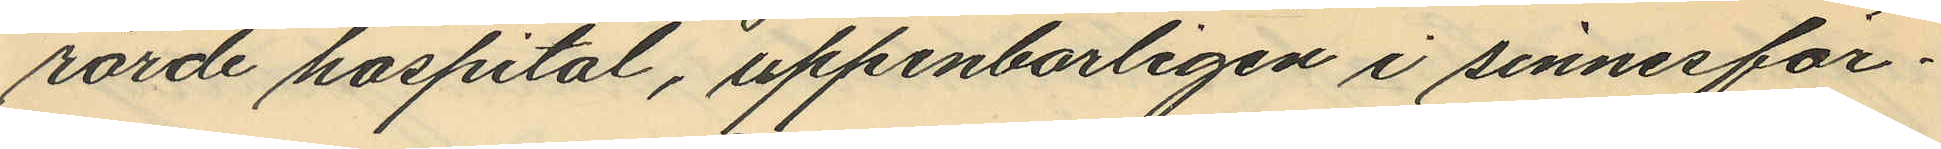rörde hospital, uppenbarligen i sinnesför¬
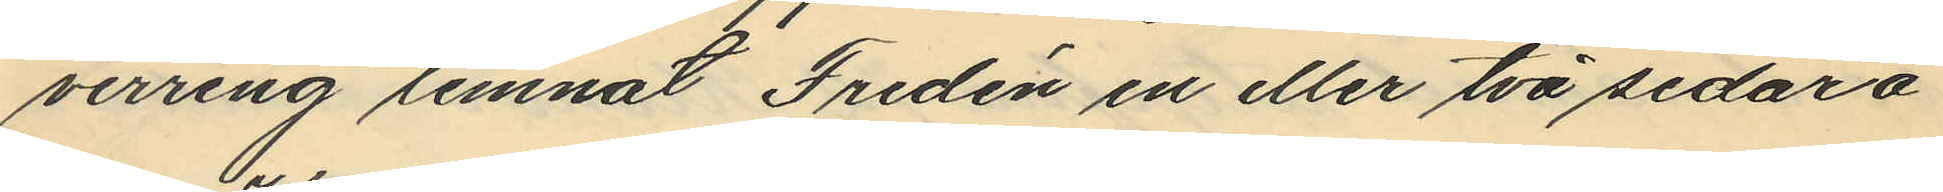virring lemnat Fredén en eller två sedar å
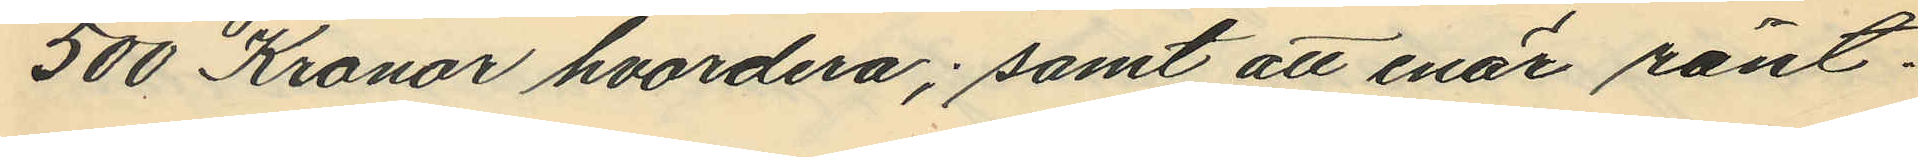500 Kronor hvardera; samt att enär ränt¬
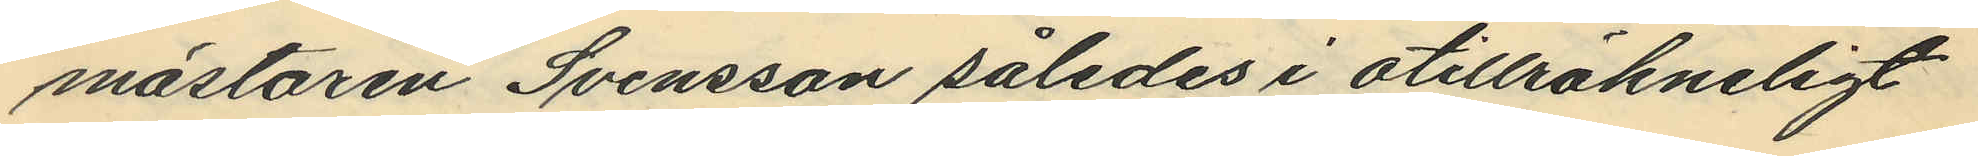mästaren Svensson således i otillräkneligt
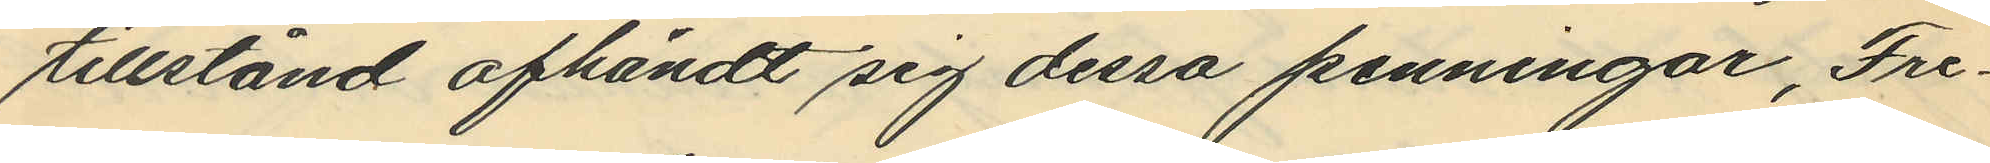tillstånd afhändt sig dessa penningar, Fre¬
